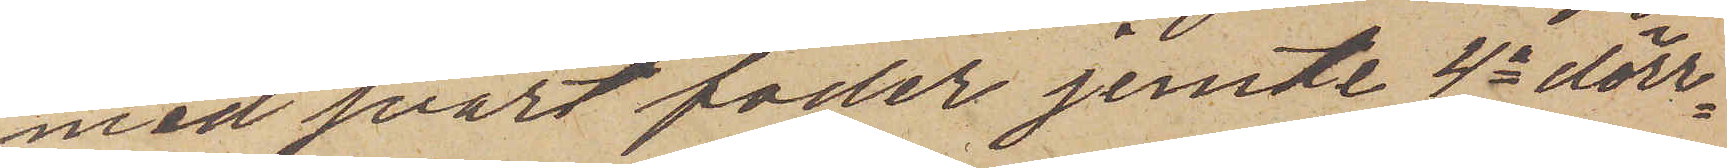med svart foder jemte 4a dörr¬
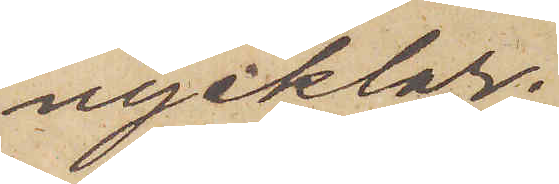nycklar.
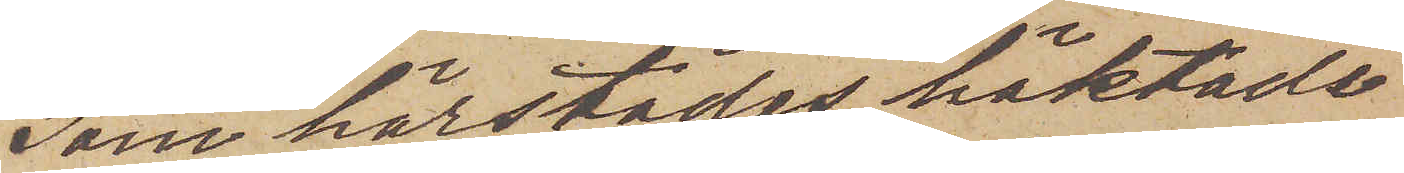Som härstädes häktade
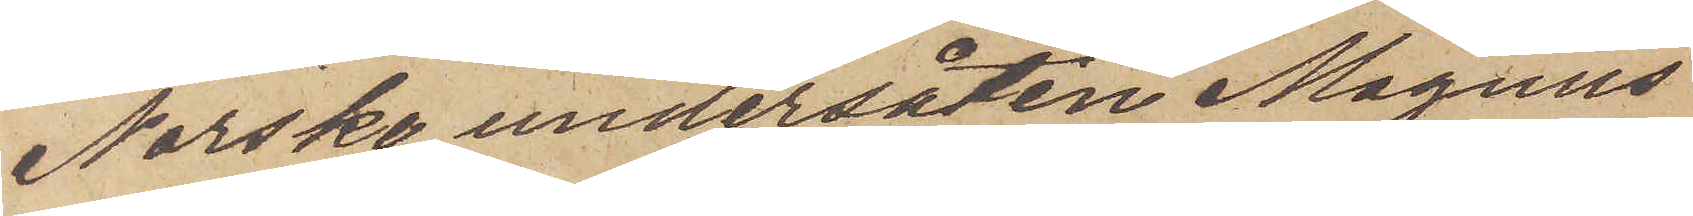Norske undersåten Magnus
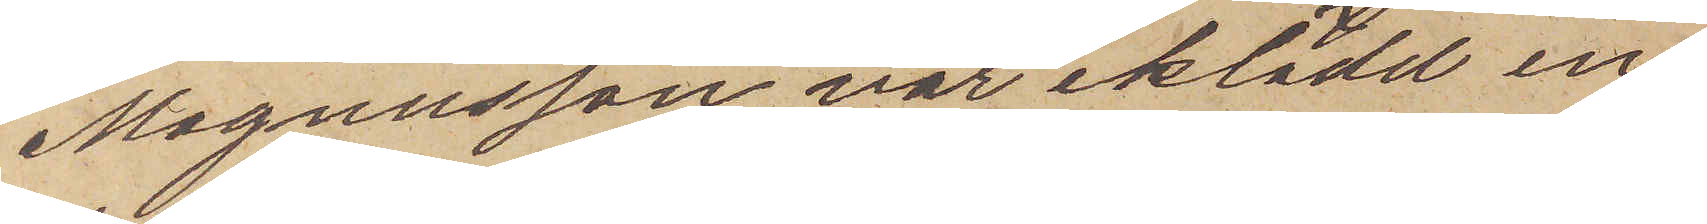Magnusson var iklädd en
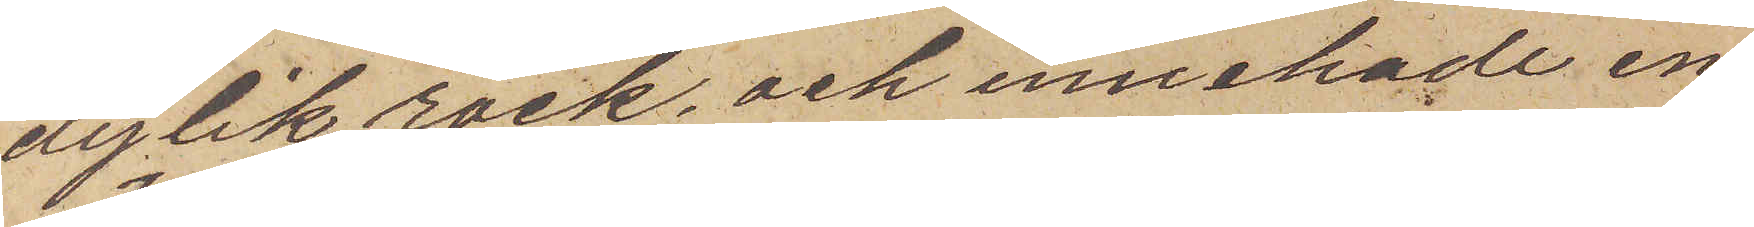dylik rock, och innehade en
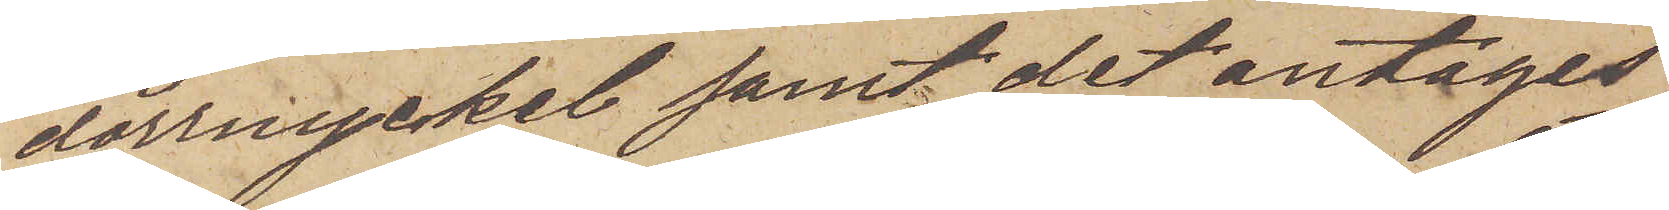dörrnyckel samt det antages
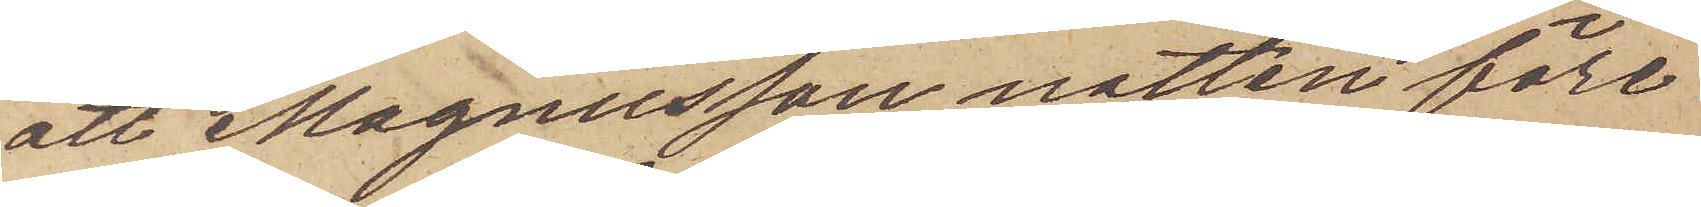att Magnusson natten före
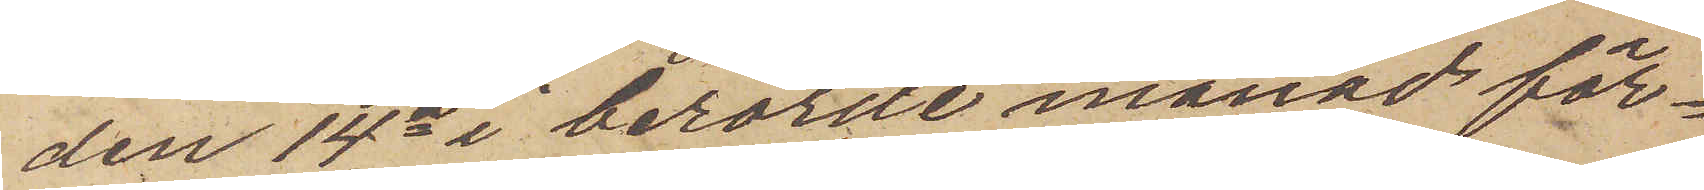den 14e i berörde månad för¬
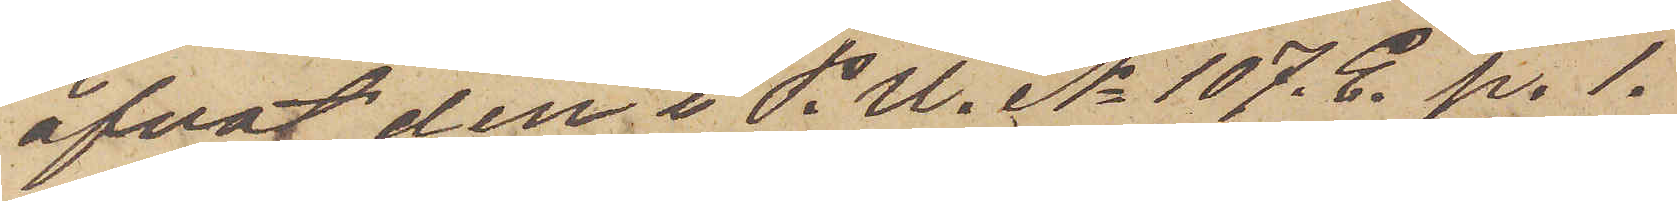öfvat den i P. U. No 107. E. p. 1.
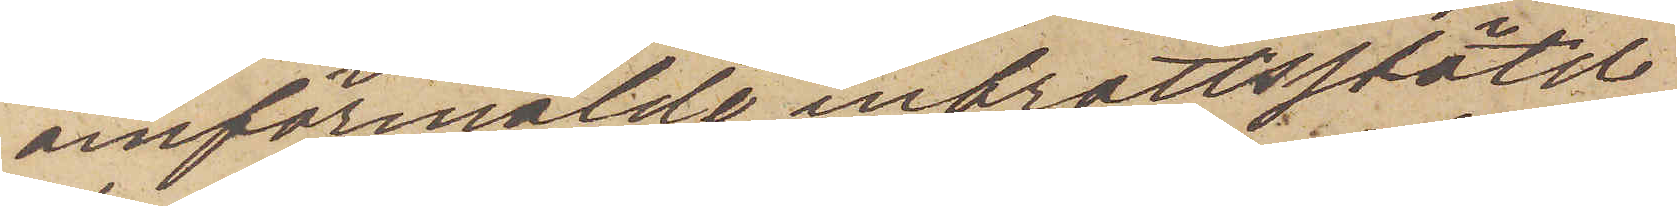omförmälde inbrottsstöld
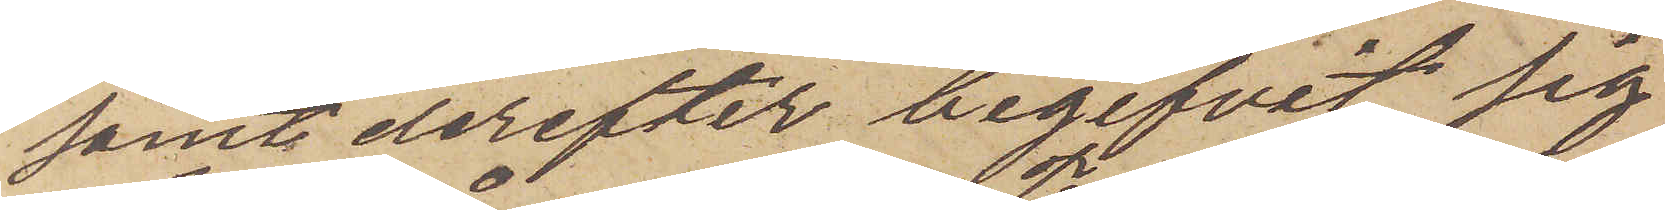samt derefter begifvit sig
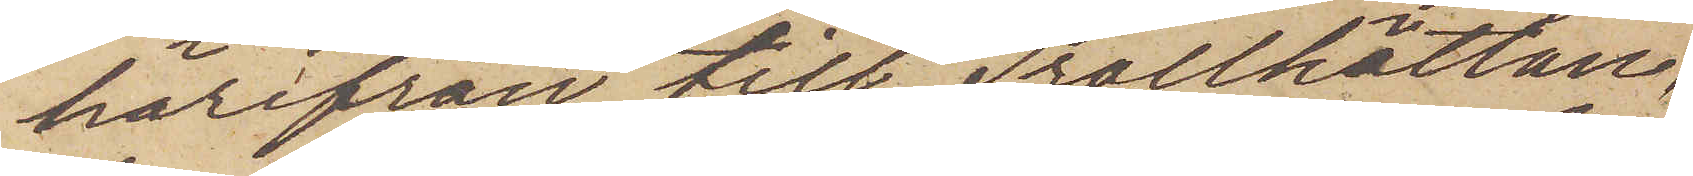härifrån till Trollhättan,
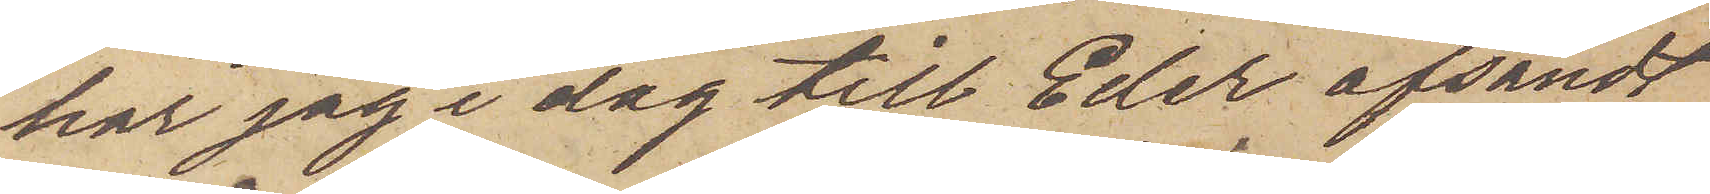har jag i dag till Eder afsändt
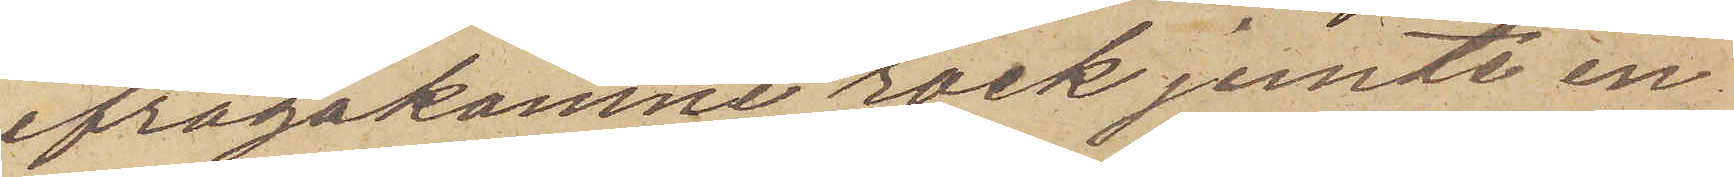ifrågakomne rock jemte en
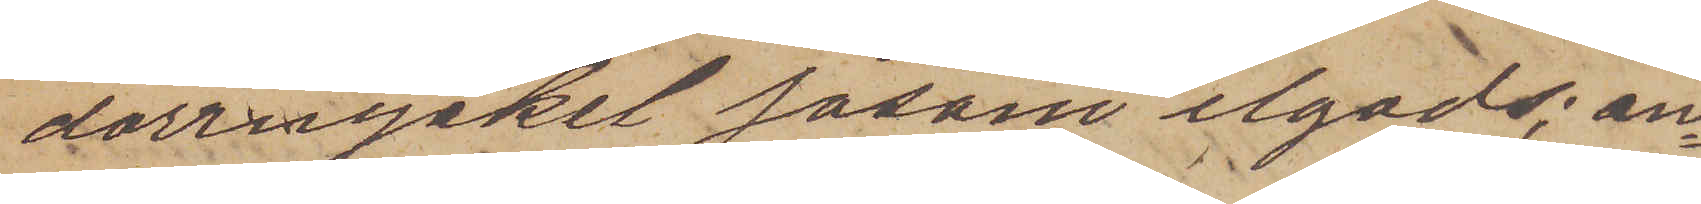dörrnycket såsom ilgods; an¬
